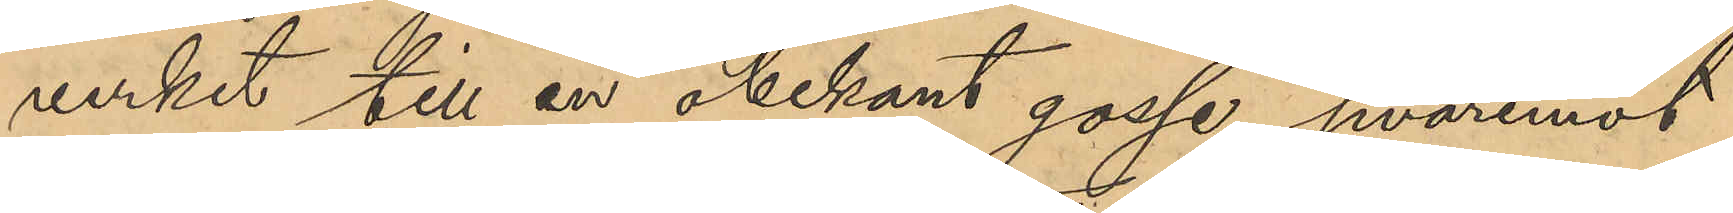verket till en obekant gosse, hvaremot
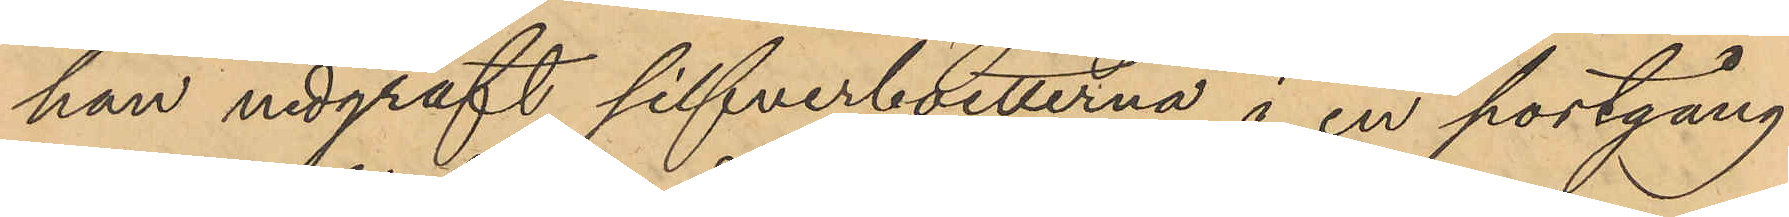han nedgräft silfverboetterna i en portgång
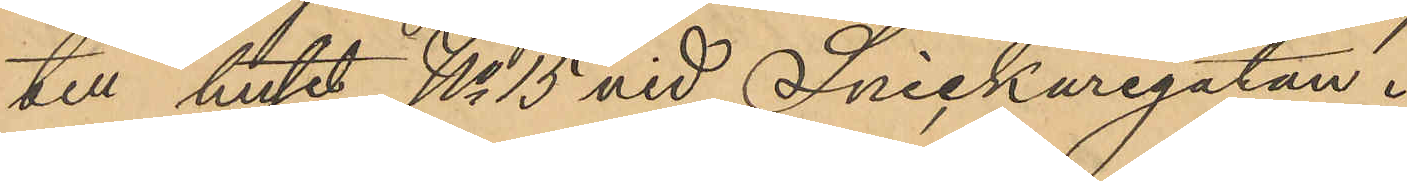till huset No 15 vid Snickaregatan.
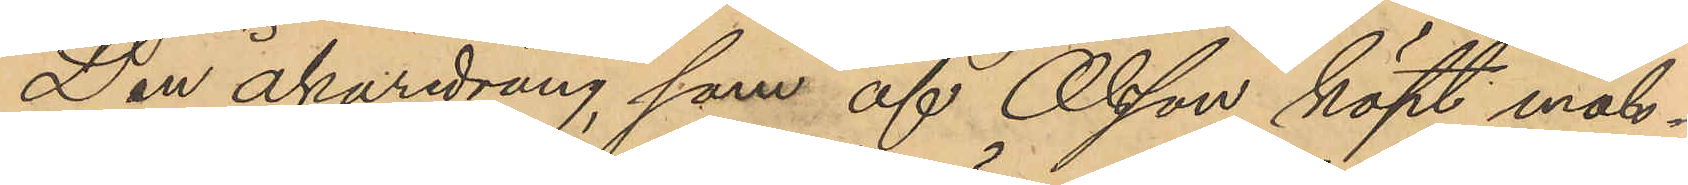Den åkaredräng som af Olsson köpt måls¬
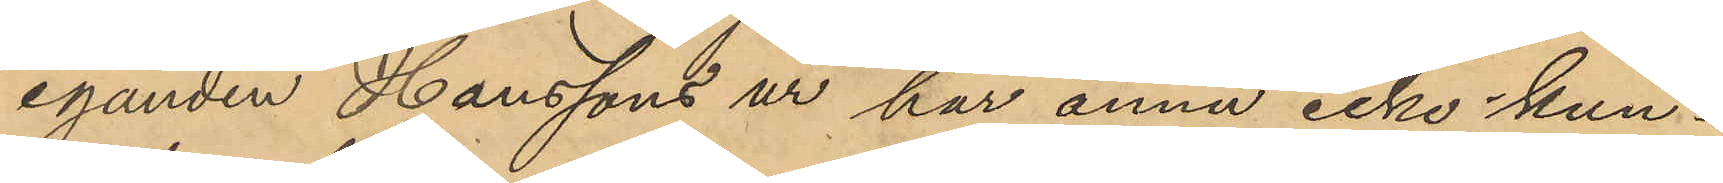eganden Hanssons ur har ännu icke kun¬
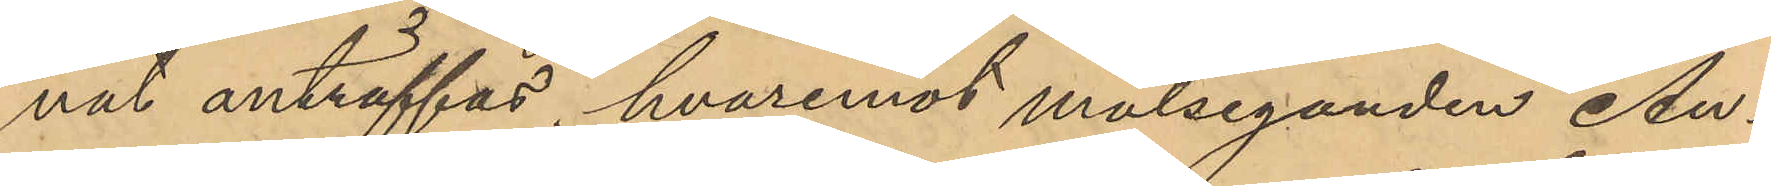nat anträffas, hvaremot målseganden An¬
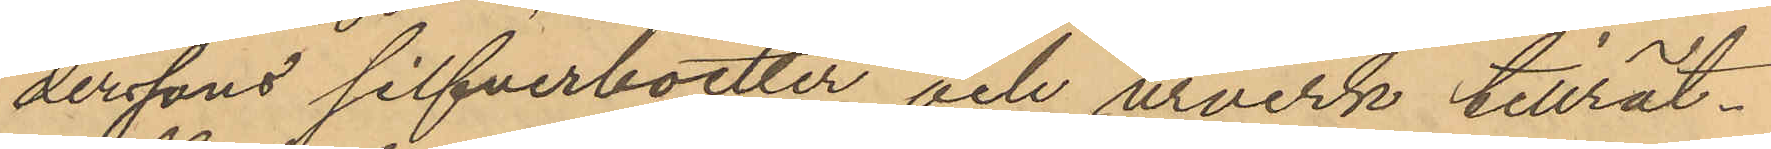derssons silfverboetter och urverk tillrät¬
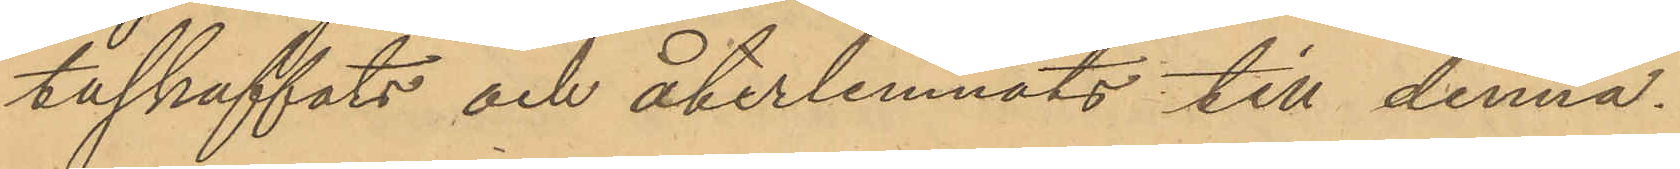taskaffats och återlemnats till denna.
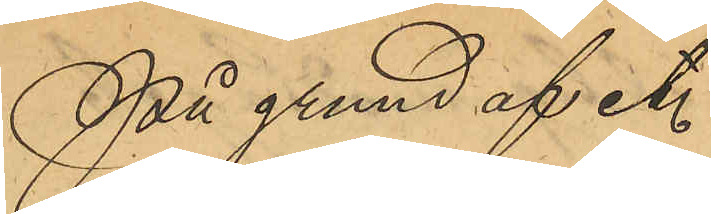På grund af etc.
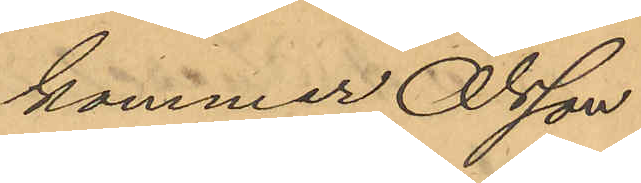kommer Olsson
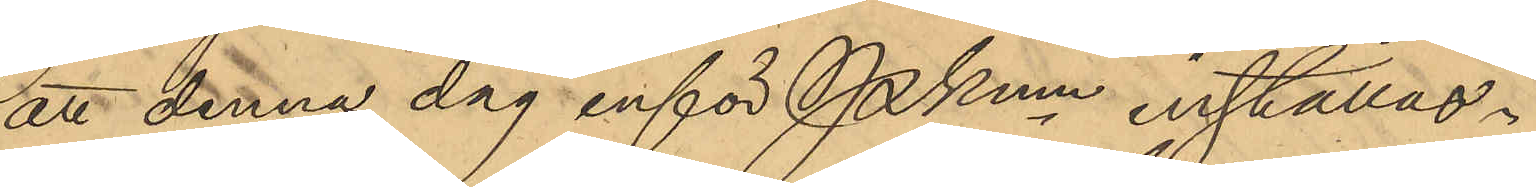att denna dag inför Pkmn inställas.
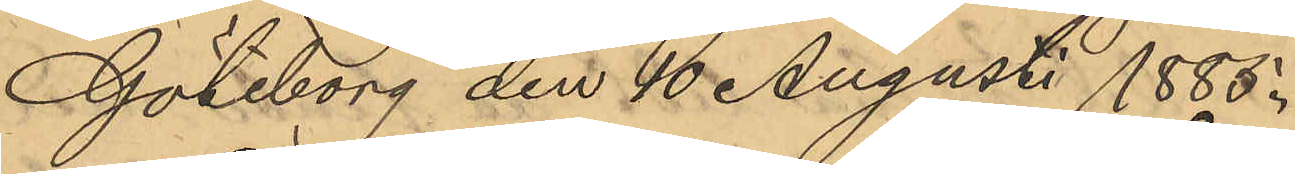Göteborg den 16 Augusti 1885.
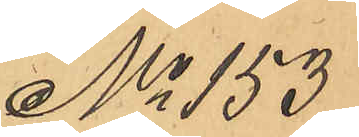No 153
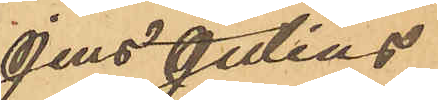Jens Julius
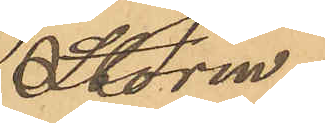Storm.
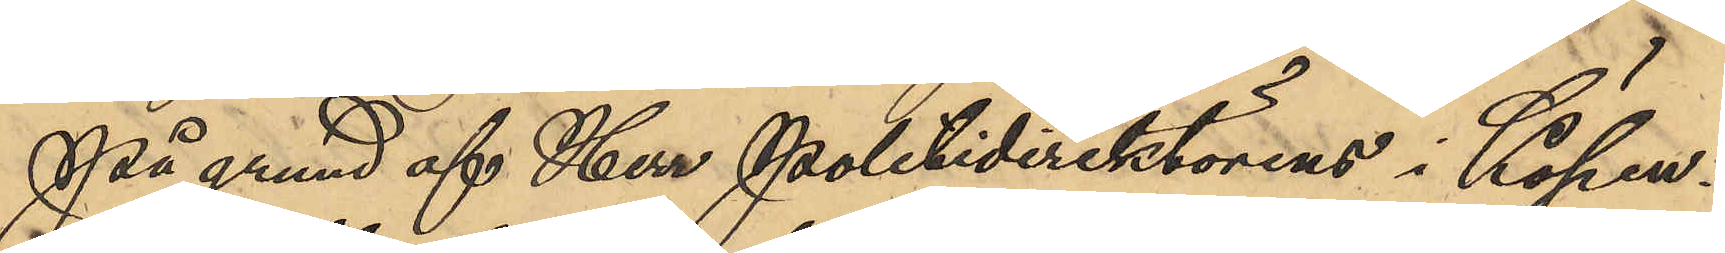På grund af Her Politidirektörens i Köpen¬
